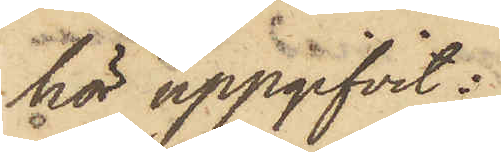hör uppgifvit:
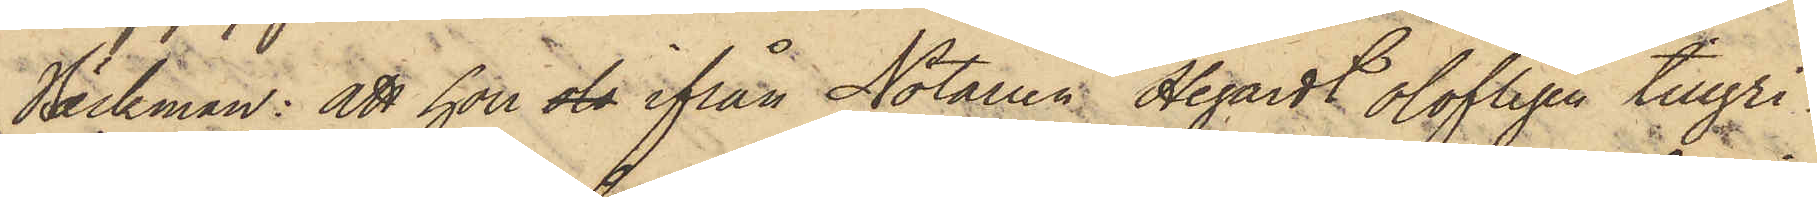Bäckman: att hon ols ifrån Notarien Hegardt olofligen tillgri¬
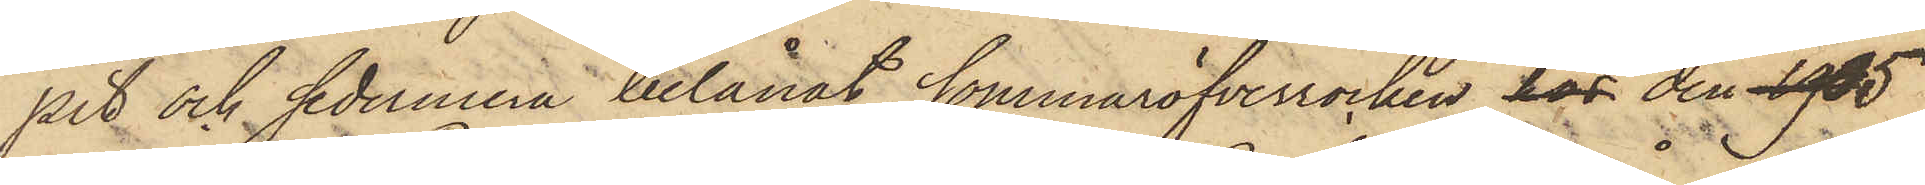pit och sedermera belånat sommaröfverrocken hos den 1905
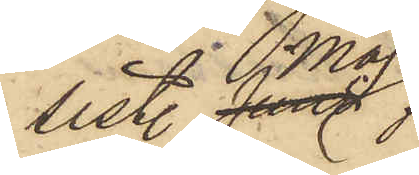sist. Maj
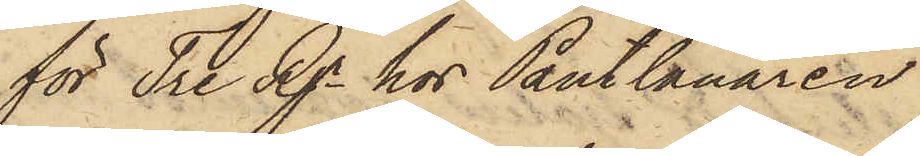för Tre Rgr hos Pantlånaren
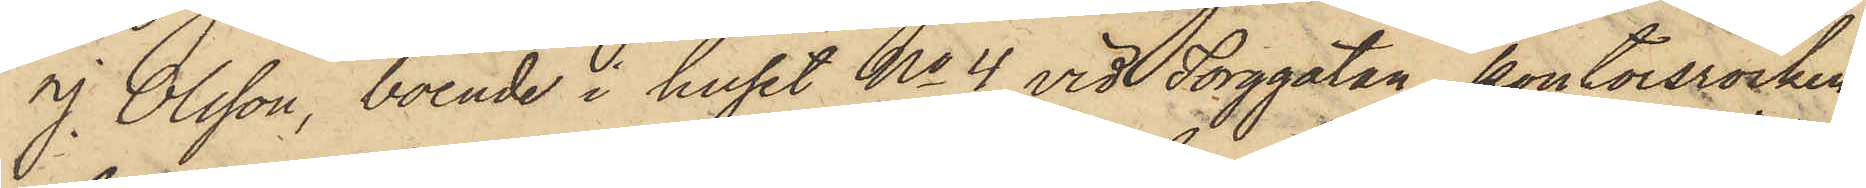J. Olsson, boende i huset No 4 vid Torggatan, kontorsrocken
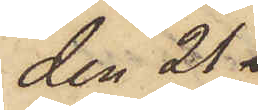den 21
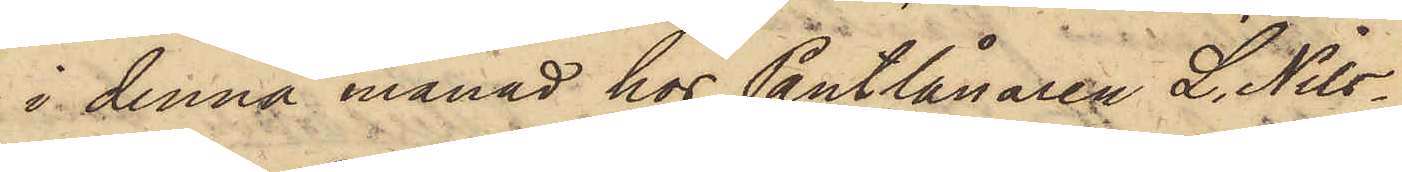i denna månad hos Pantlånaren L. Nils¬
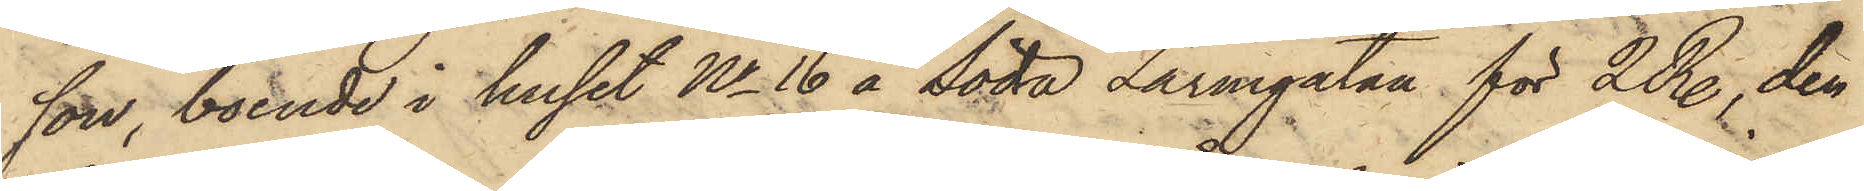son, boende i huset No 16 å Södra Larmgatan för 2 R., den
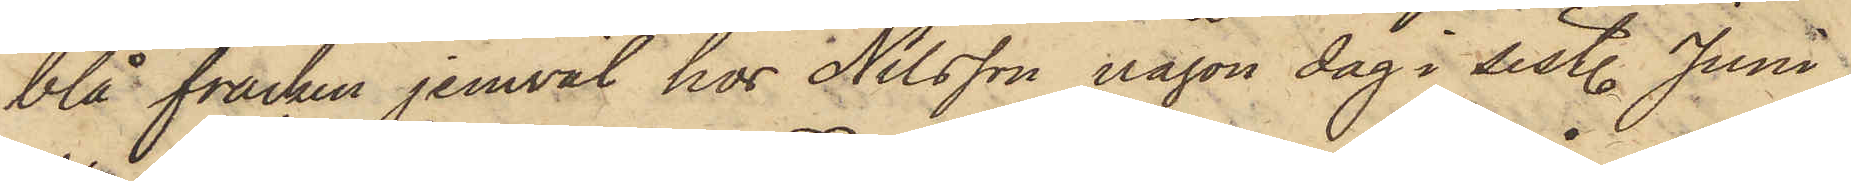blå fracken jemväl hos Nilsson någon dag i sist. Juni
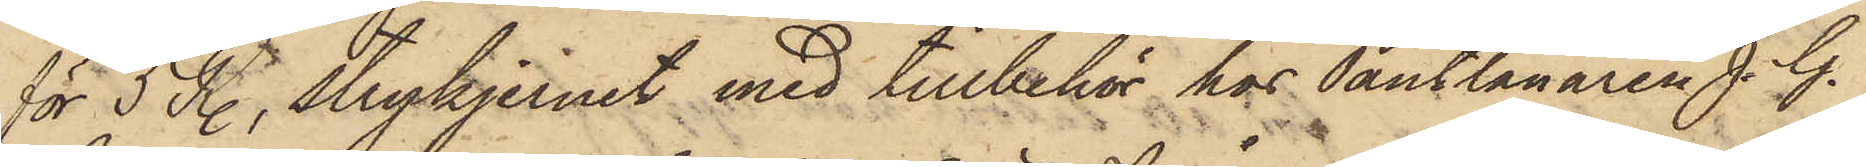för 5 R., strykjernet med tillbehör hos Pantlånaren J. G.
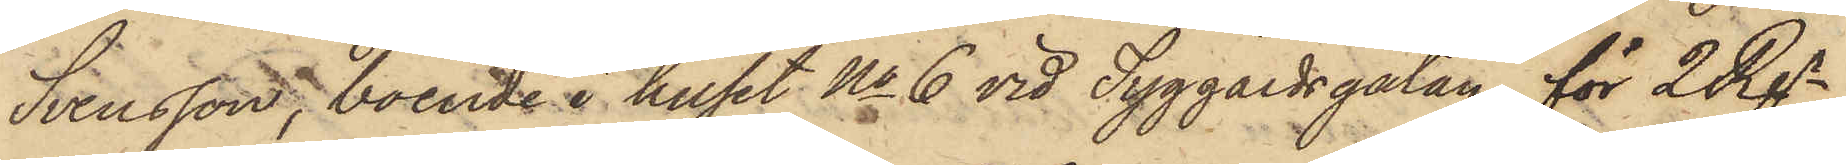Svensson, boende i huset No 6 vid Tyggårdsgatan för 2 Rgr,
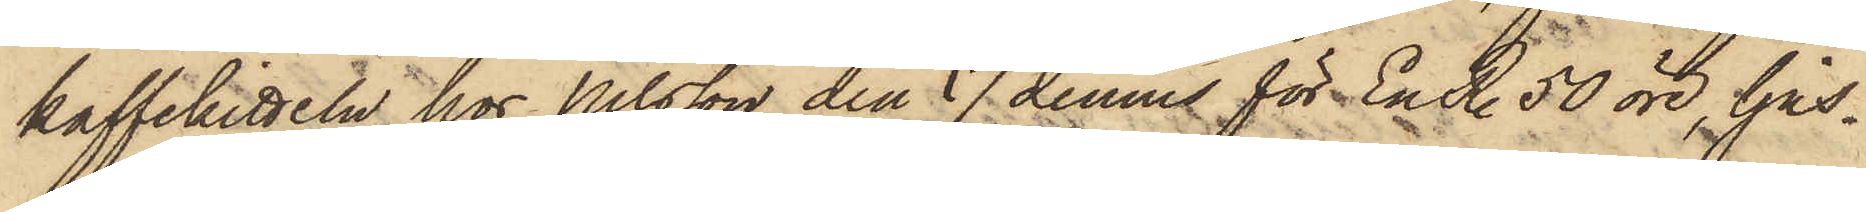kaffekitteln hos Nilsson den 17 dennes för En R. 50 öre, ljus¬
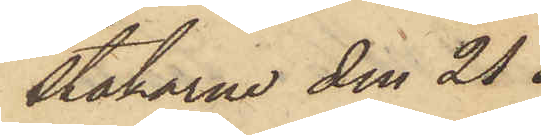stakarne den 21 i
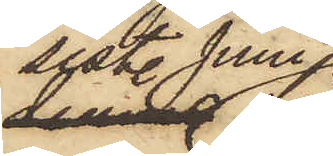sistl. Juni
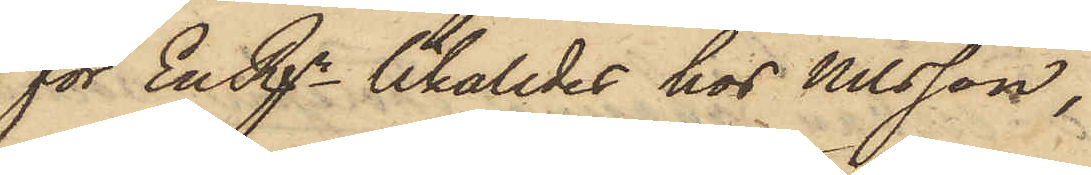för En Rgr likaledes hos Nilsson,
